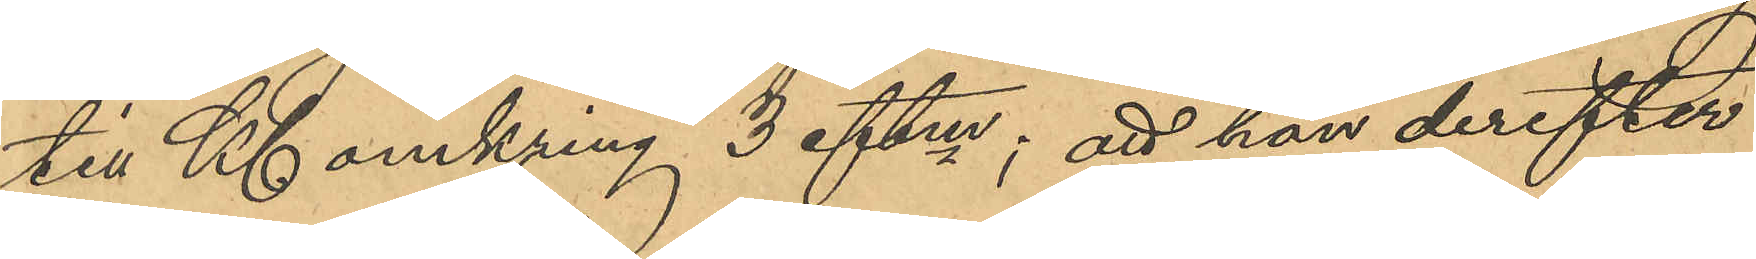till Kl omkring 3 eftm; att han derefter
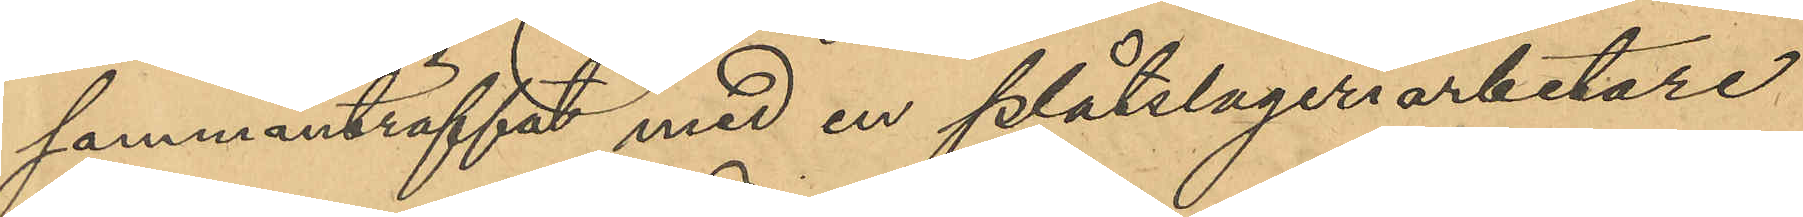sammanträffat med en plåtslageriarbetare
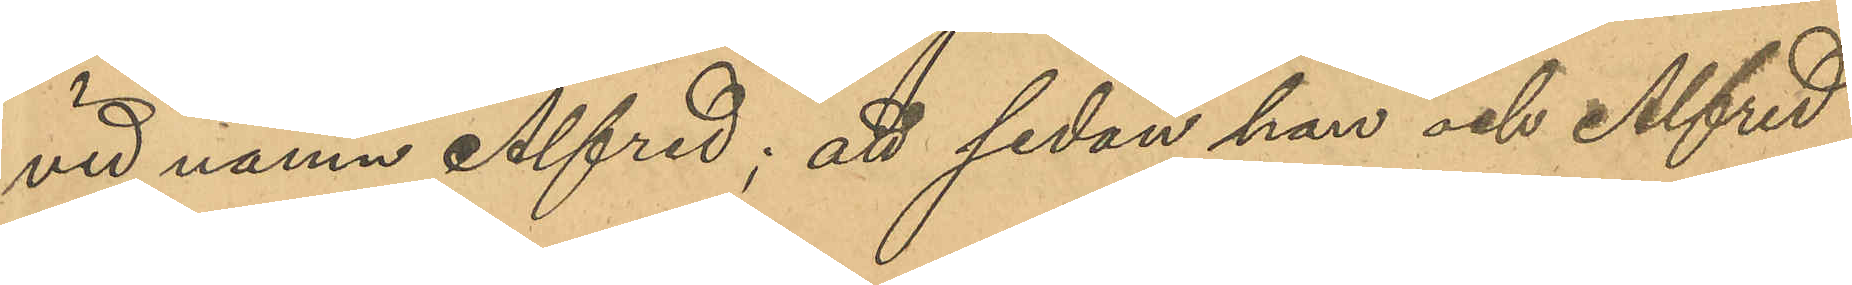vid namn Alfred; att sedan han och Alfred
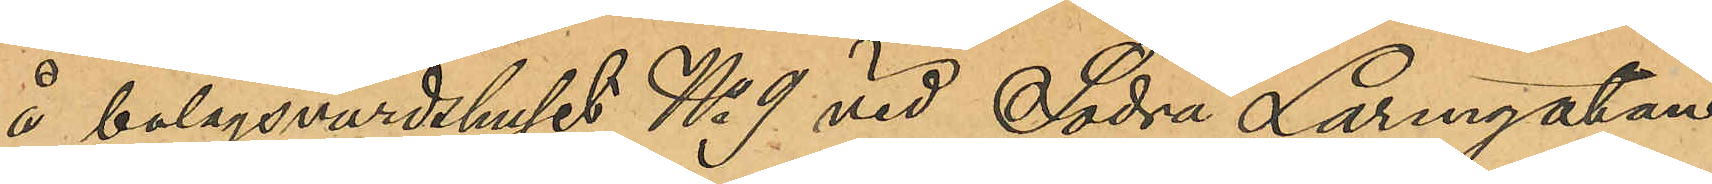å bolagsvärdshuset No 9 vid Södra Larmgatan
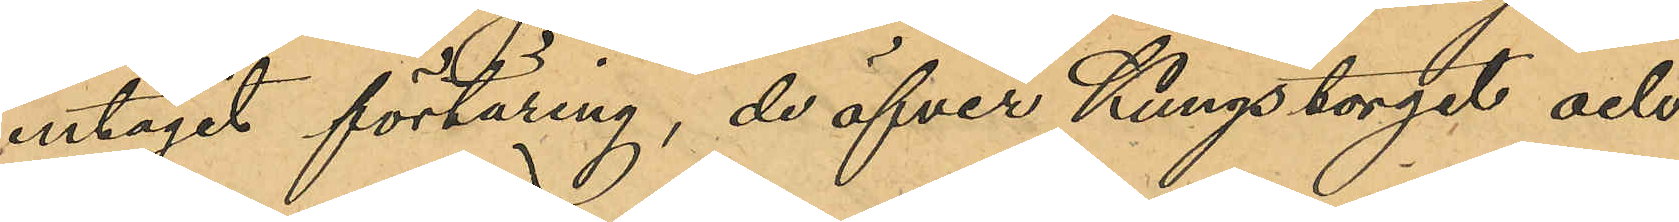intagit förtäring, de öfver Kungstorget och
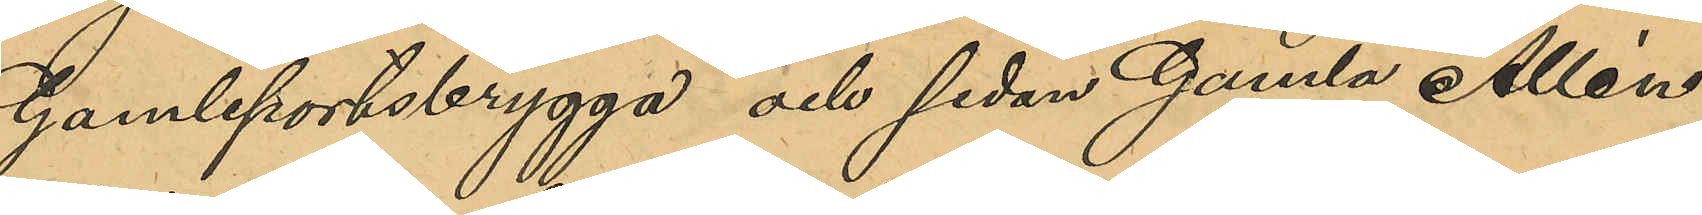Gamleportsbrygga och sedan Gamla Allén
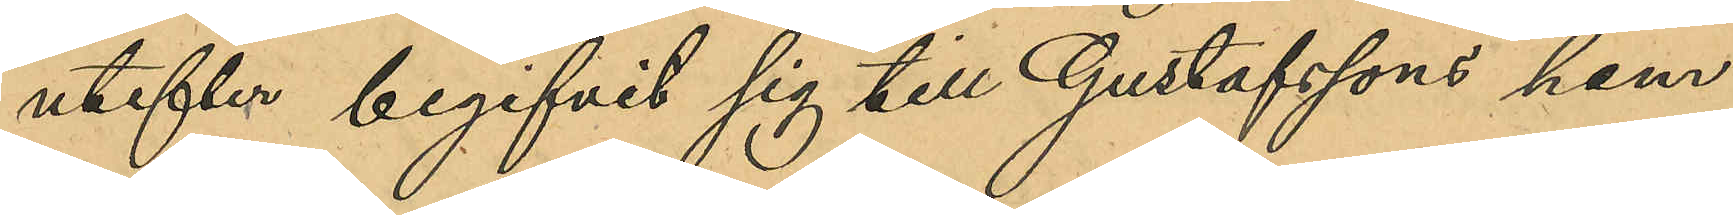utefter begifvit sig till Gustafssons hem
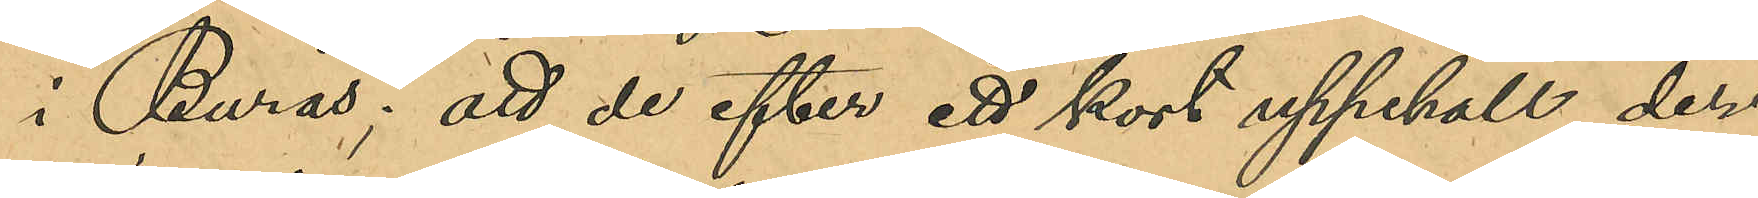i Burås; att de efter ett kort uppehåll der¬
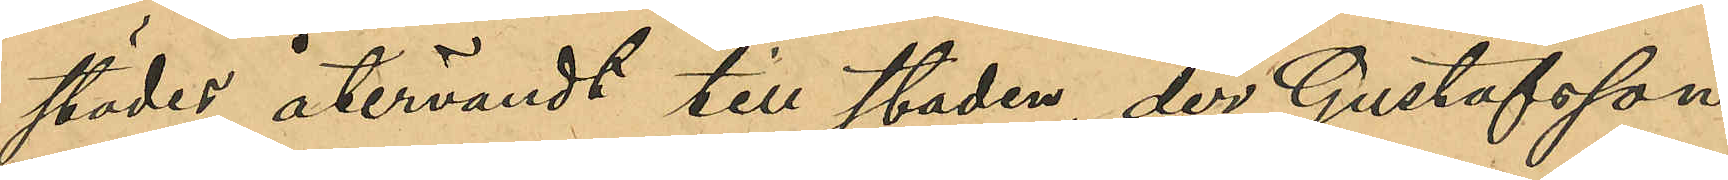städes återvändt till staden, der Gustafsson
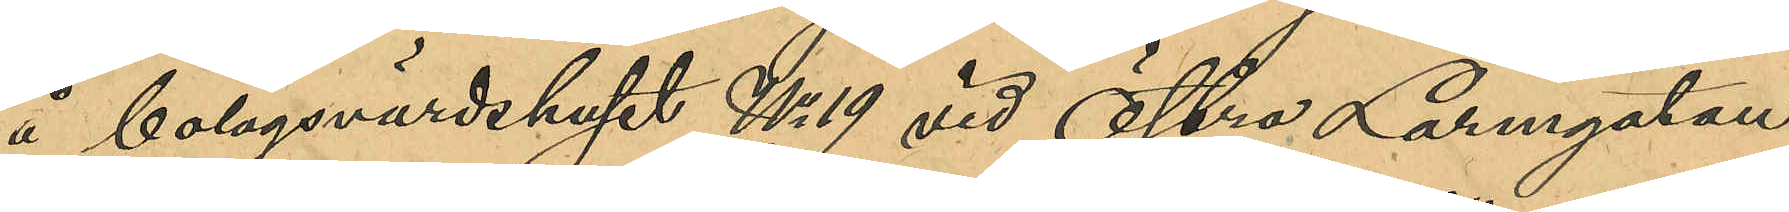å bolagsvärdshuset No 19 vid Östra Larmgatan
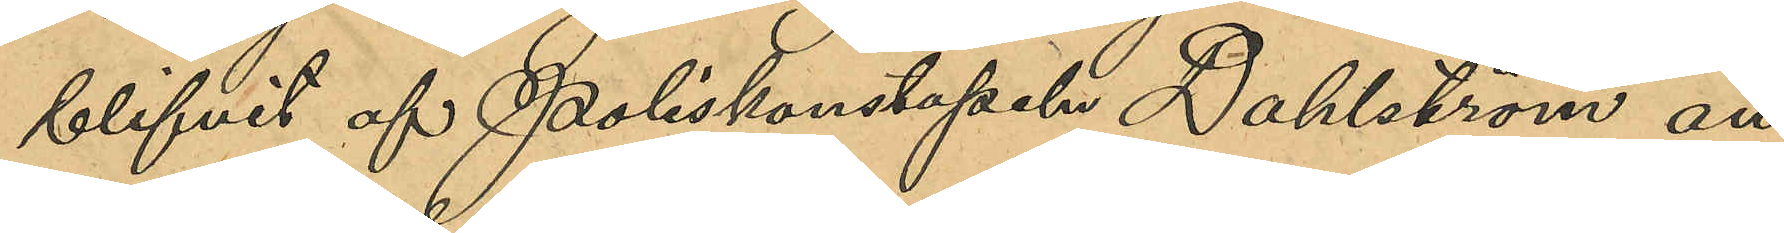blifvit av Poliskonstapeln Dahlström an¬
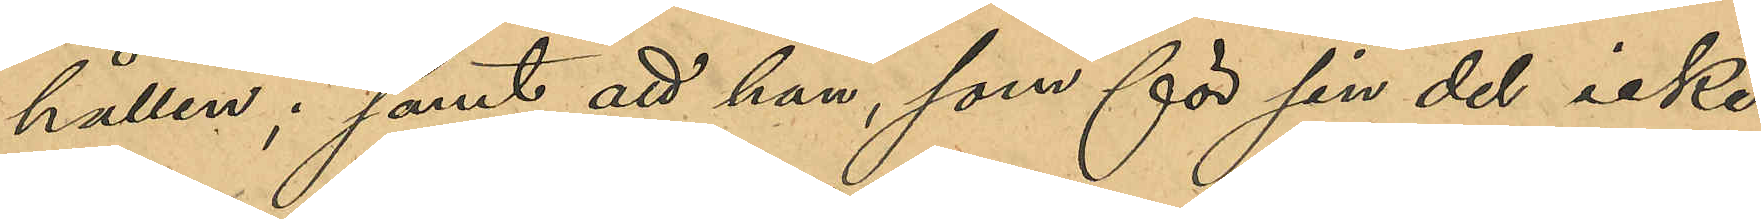hållen; samt att han, som för sin del icke
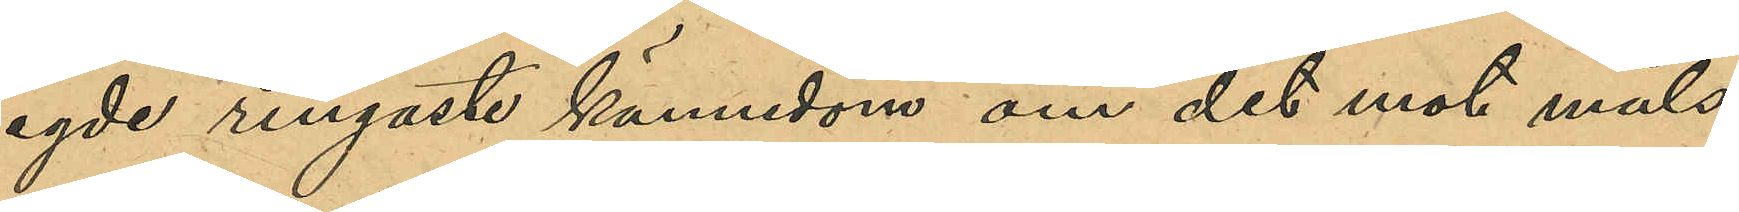egde ringaste kännedom om det mot måls¬
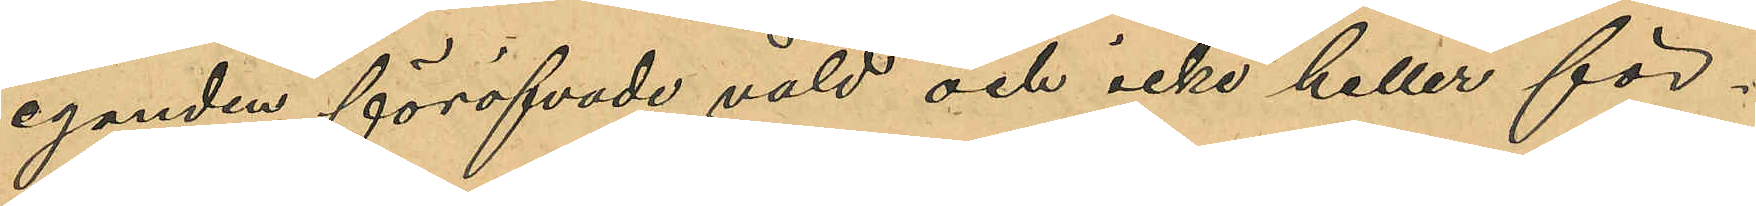eganden förövade våld och icke heller för¬
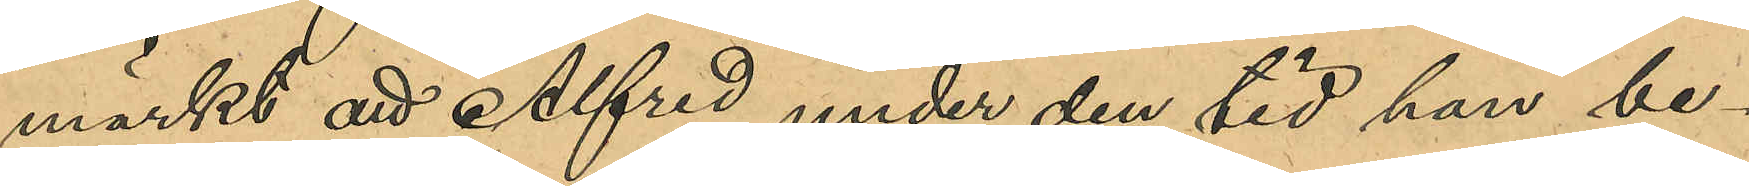märkt att Alfred under den tid han be¬
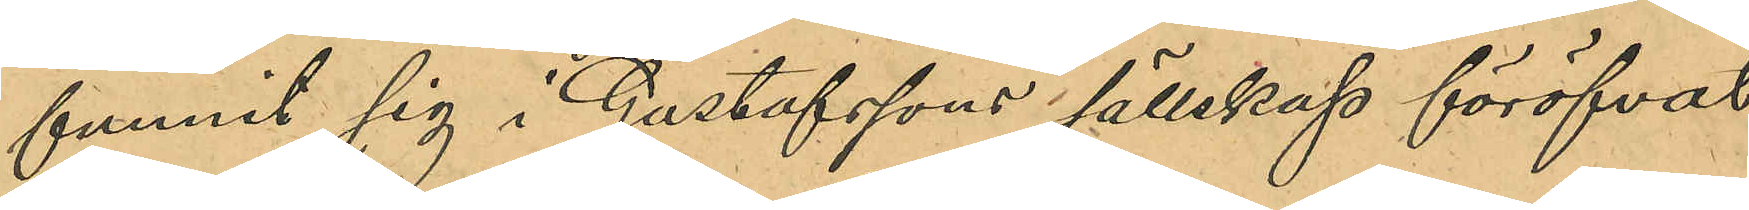funnit sig i Gustafssons sällskap föröfvat
